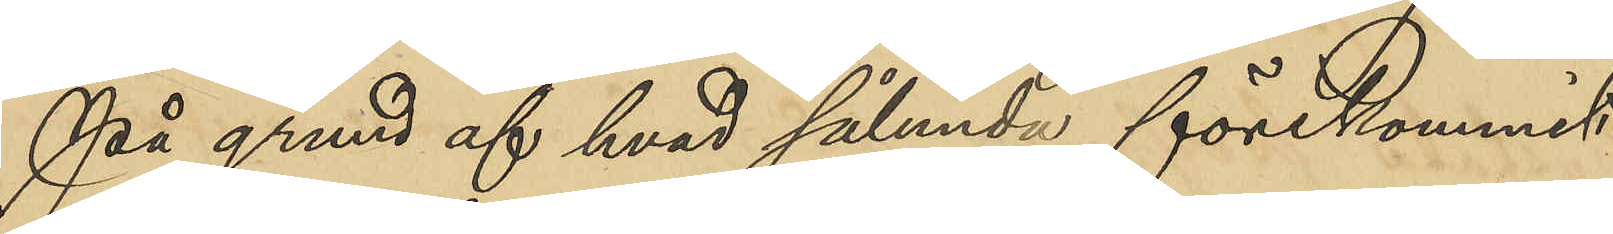På grund af hvad sålunda förekommit
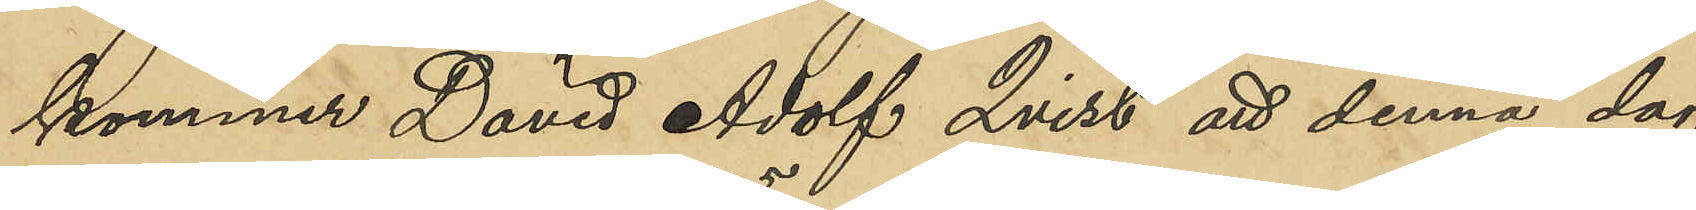kommer David Adolf Qvist att denna dag
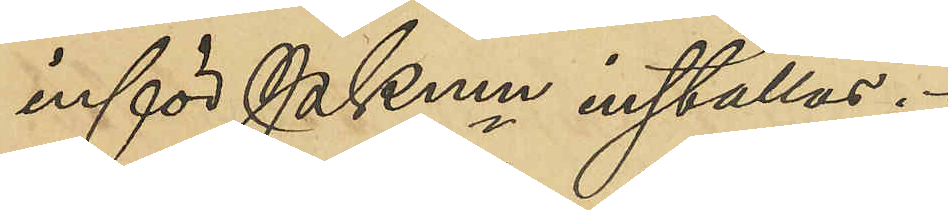inför PKmn inställas.
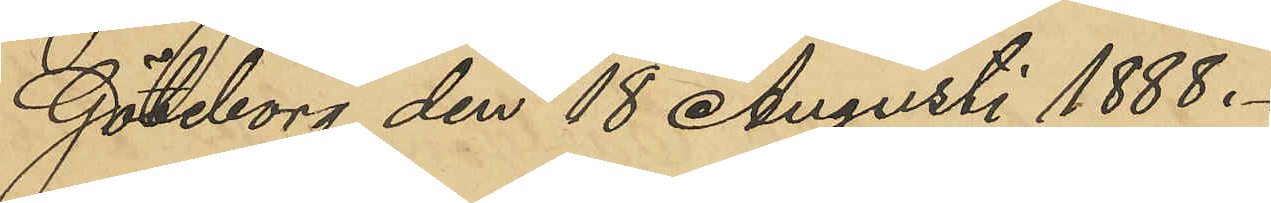Göteborg den 18 Augusti 1888.
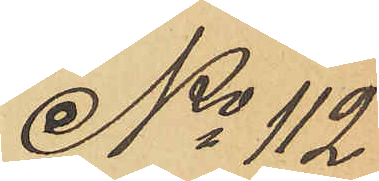No 112
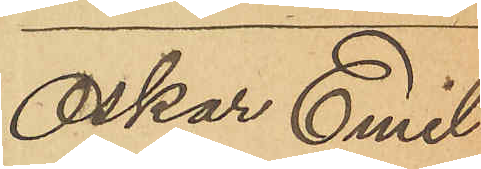Oskar Emil
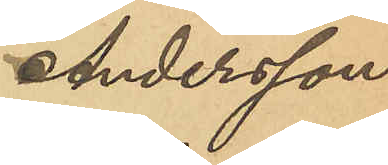Andersson.
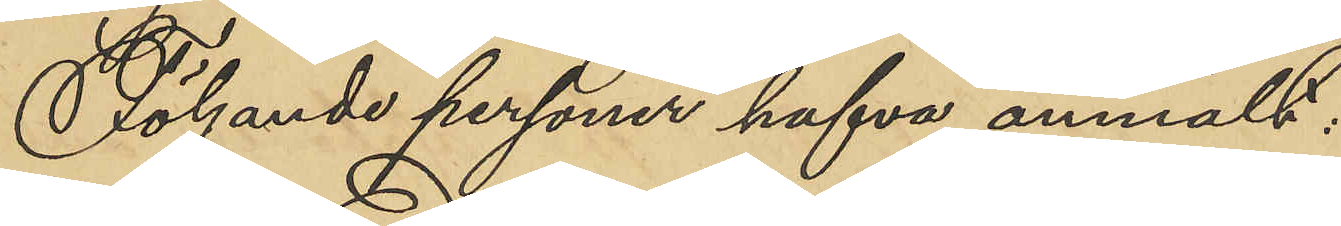Följande personer hafva anmält:
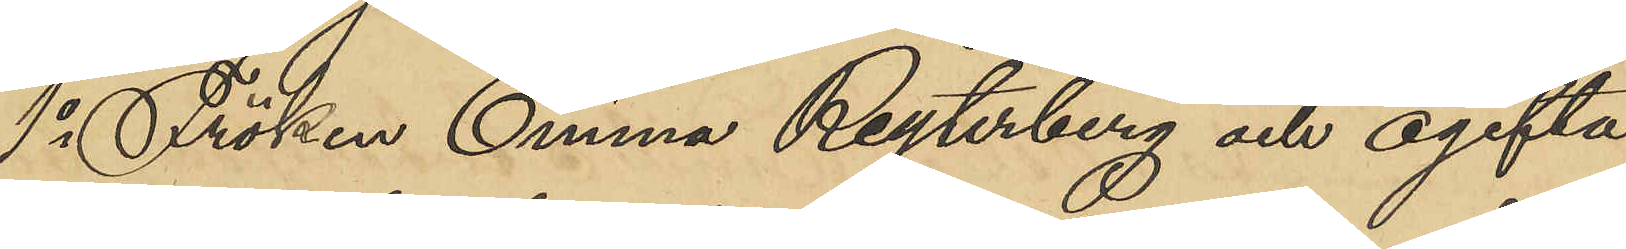1o Fröken Emma Reyterberg och ogifta
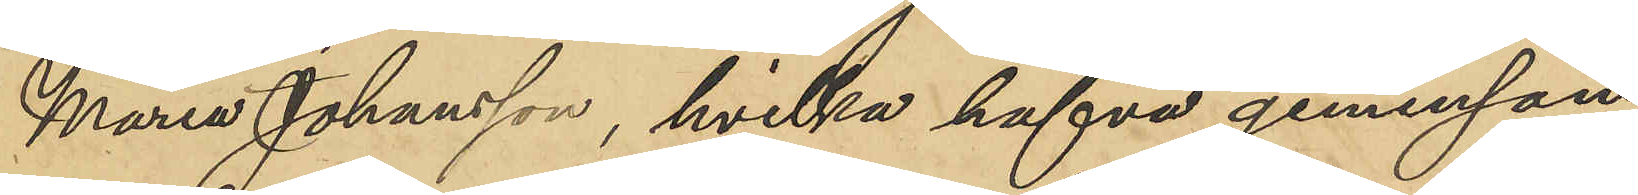Maria Johansson, hvilka hafva gemensam
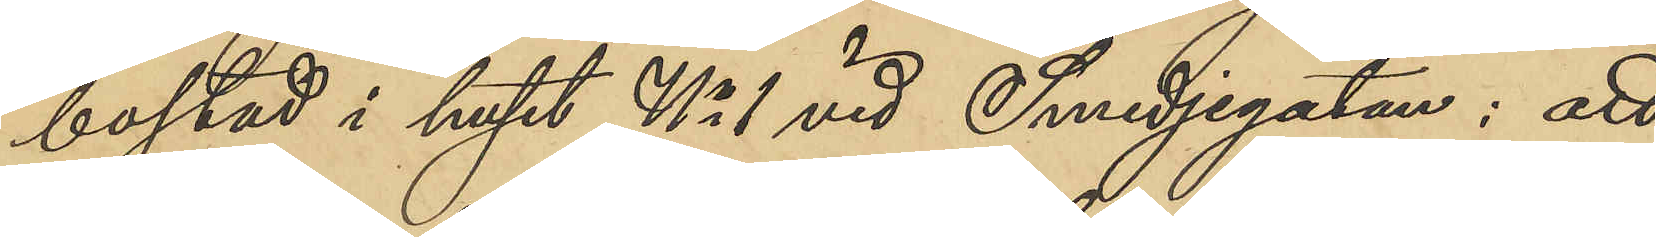bostad i huset No 1 vid Smedjegatan: att
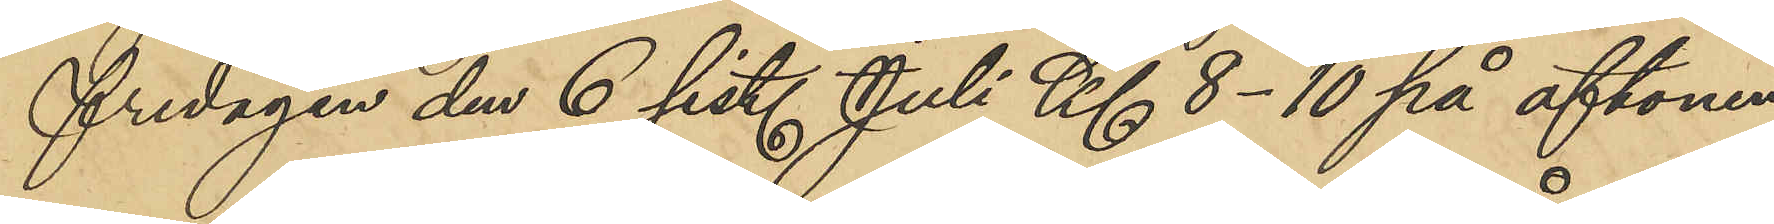fredagen den 6 sist. Juli Kl 8-10 på aftonen
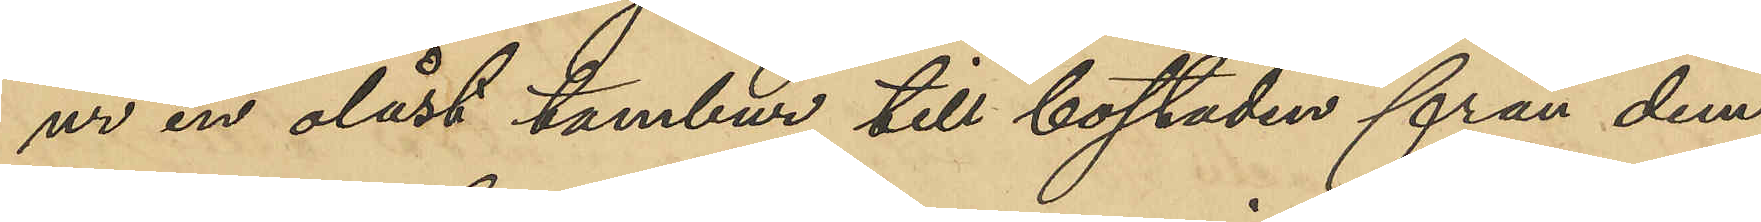ur en olåst tambur till bostaden från dem
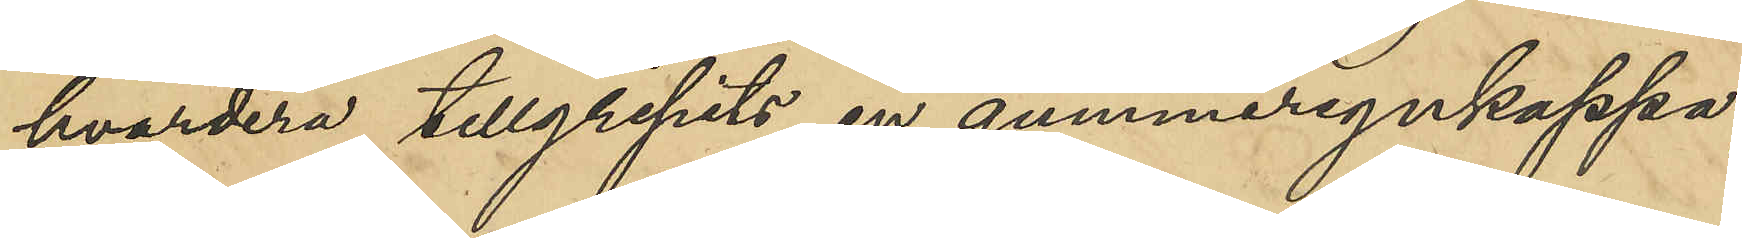hvardera tillgripits en gummiregnkappa,
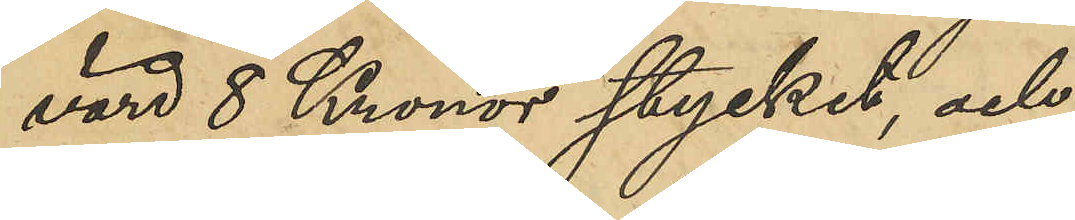värd 8 Kronor stycket, och
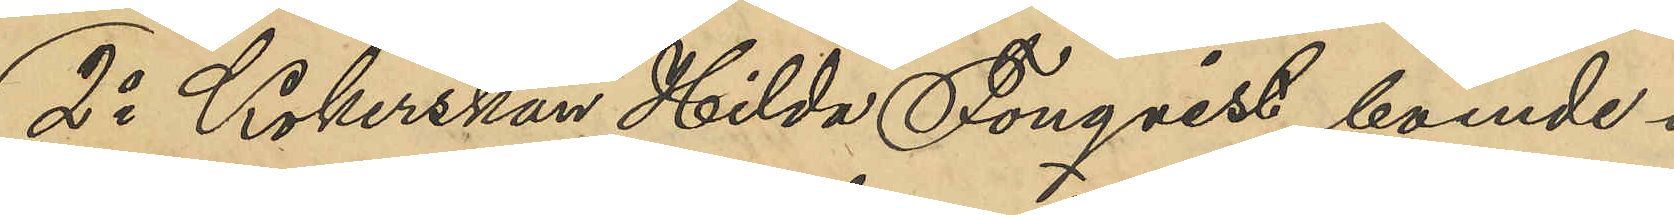2o Kokerskan Hilda Fonqvist, boende i
